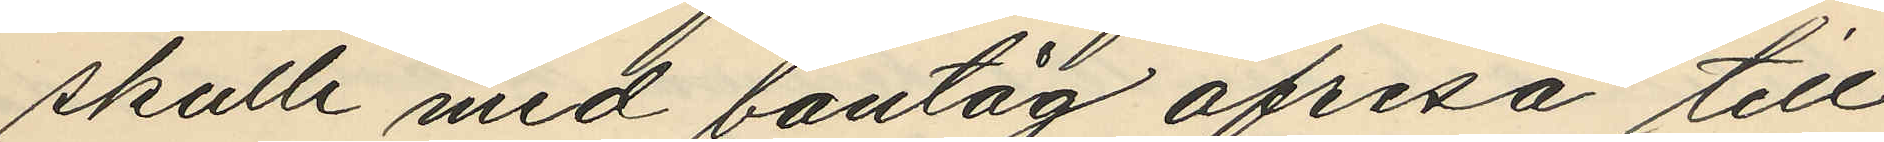skulle med bantåg afresa till
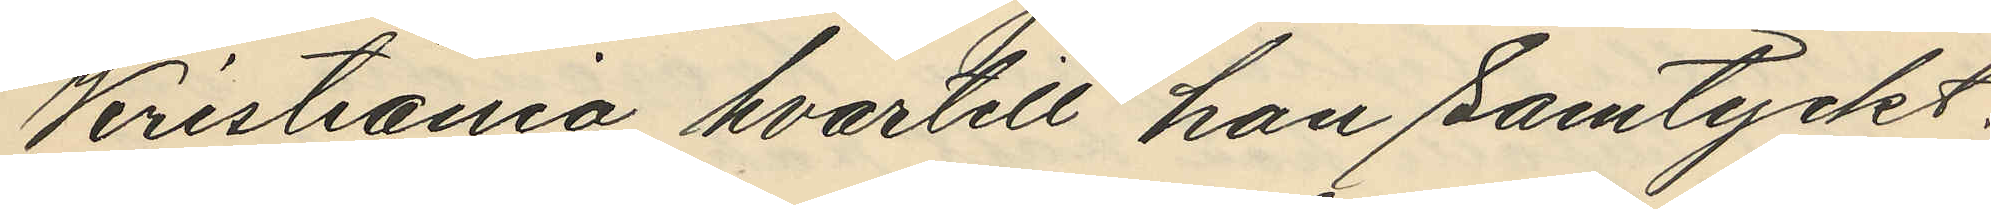Kristiania, hvartill hon samtyckt;
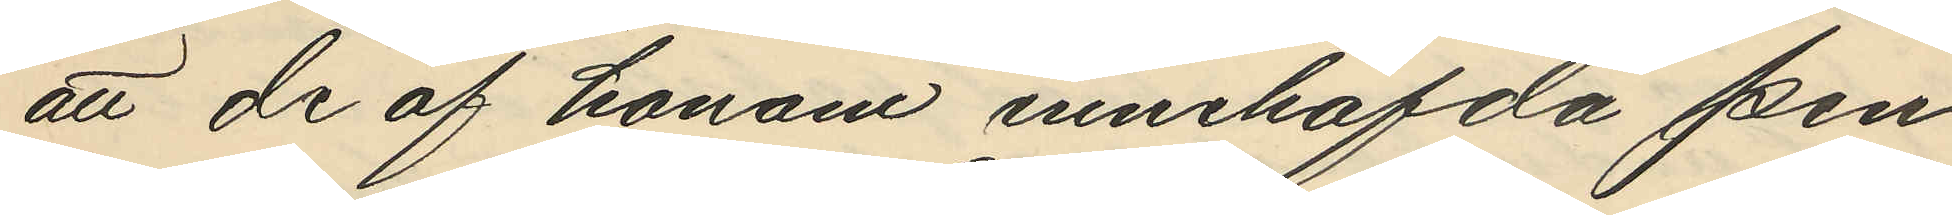att de af honom innehafda pen¬
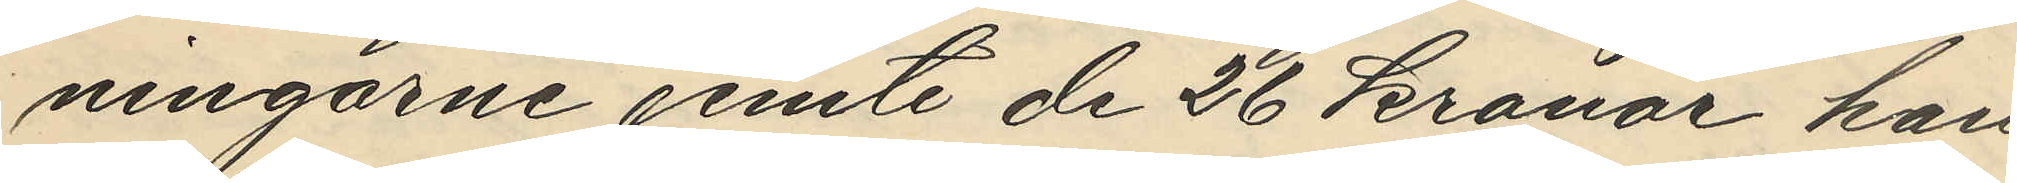ningarne jemte de 26 kronor han
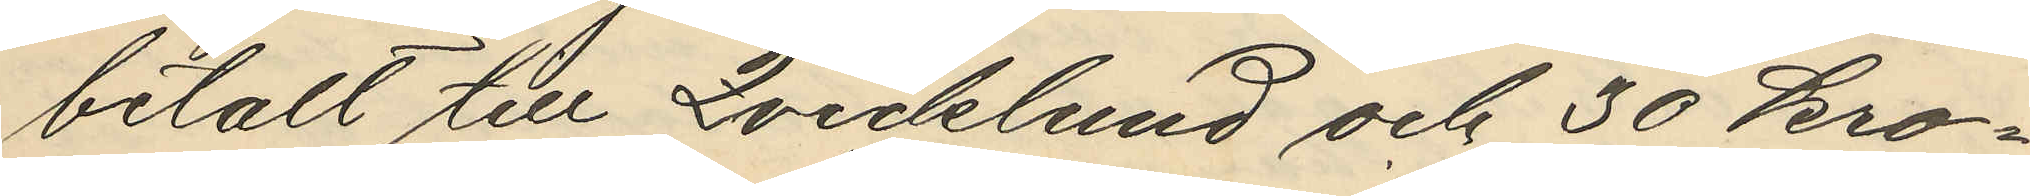betalt till Qvicklund och 30 kro¬
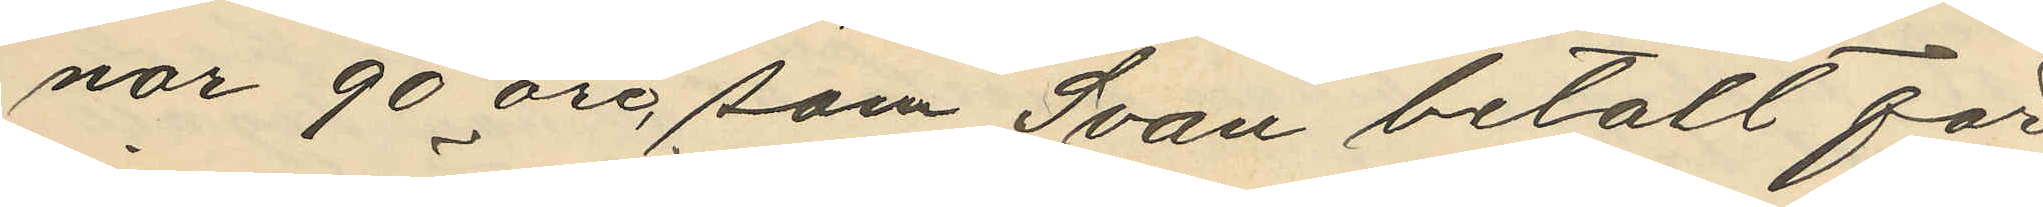nor 90 öre, som Svan betalt för
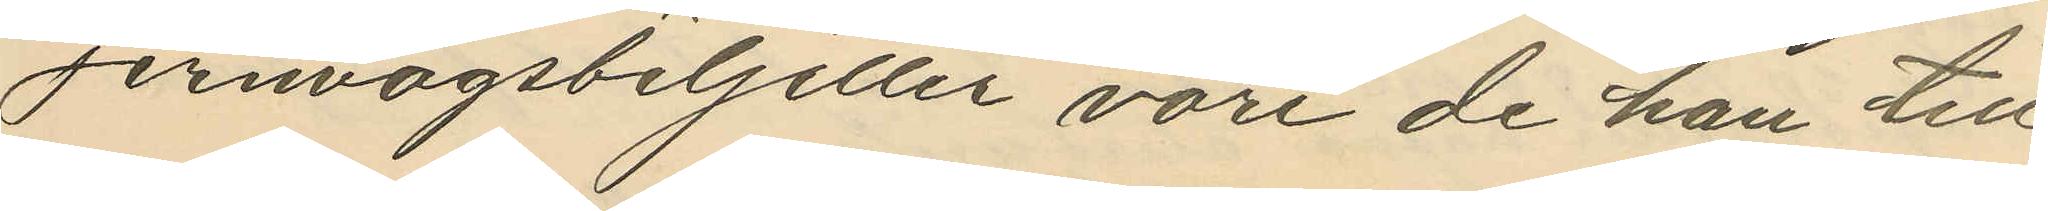Jernvägsbiljetter vore de han till¬
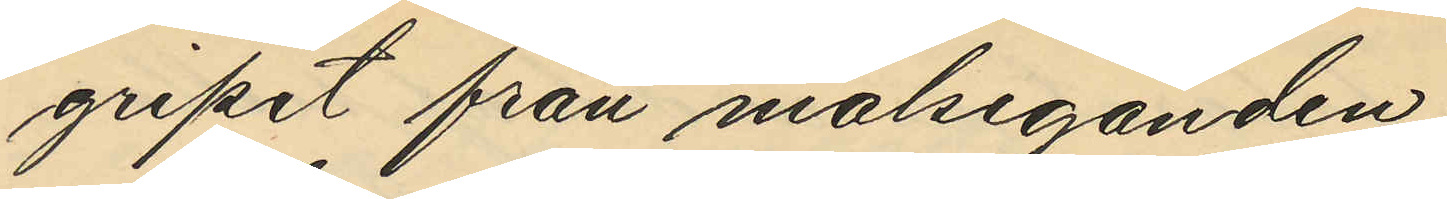gripit från målseganden.
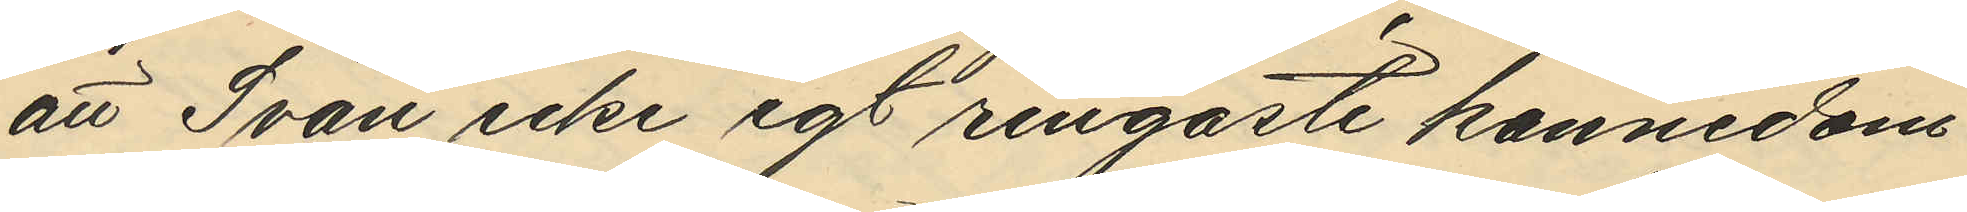att Svan icke egt ringaste kännedom
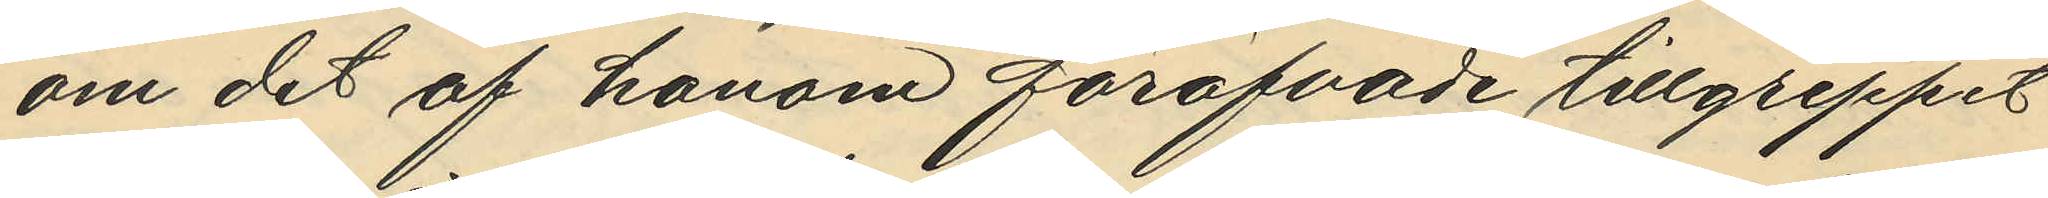om det af honom föröfvade tillgreppet
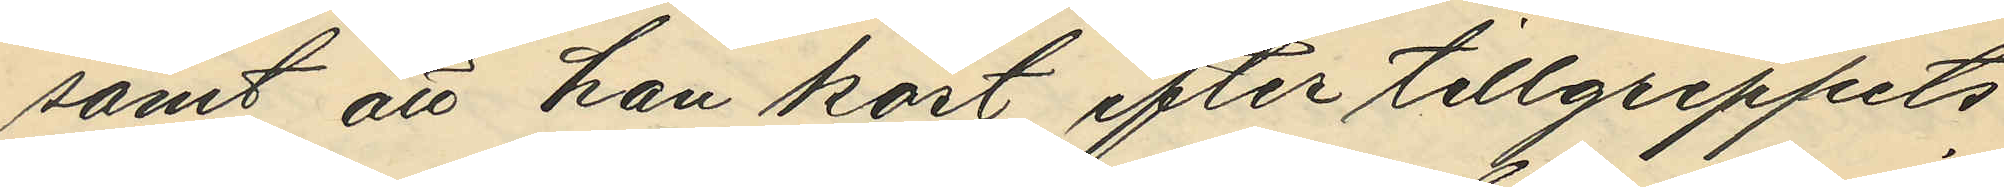samt att han kort efter tillgreppets
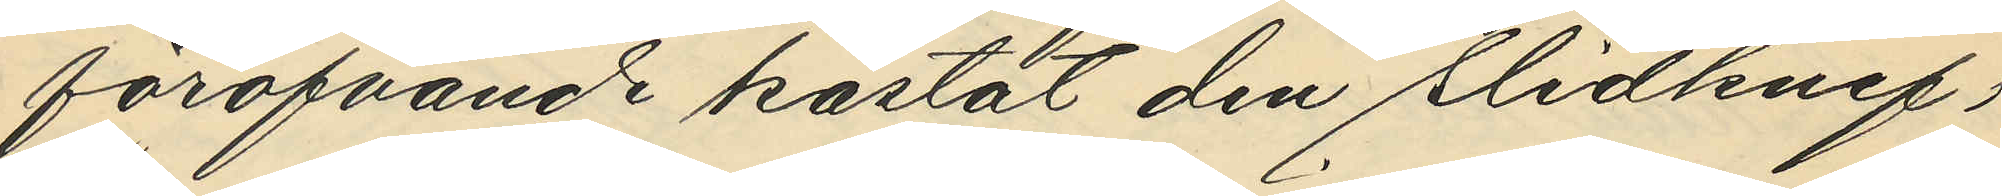föröfvande kastat den slidknif,
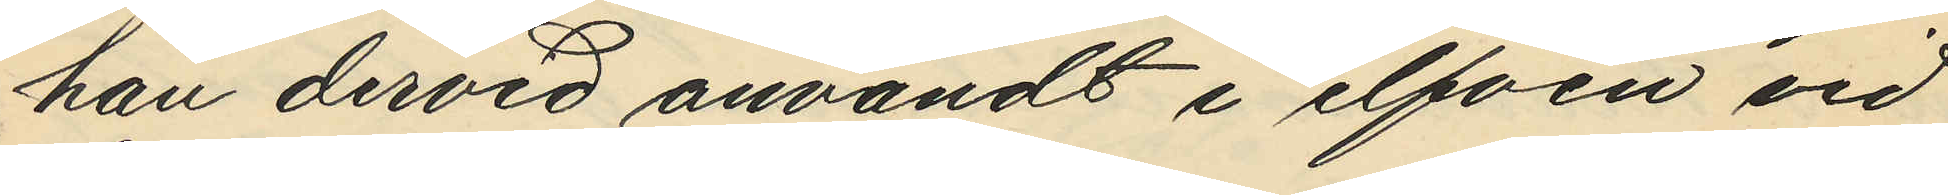han dervid användt i elfven vid
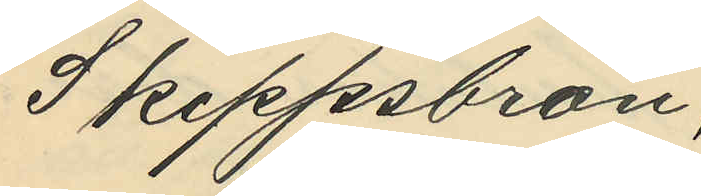Skeppsbron;
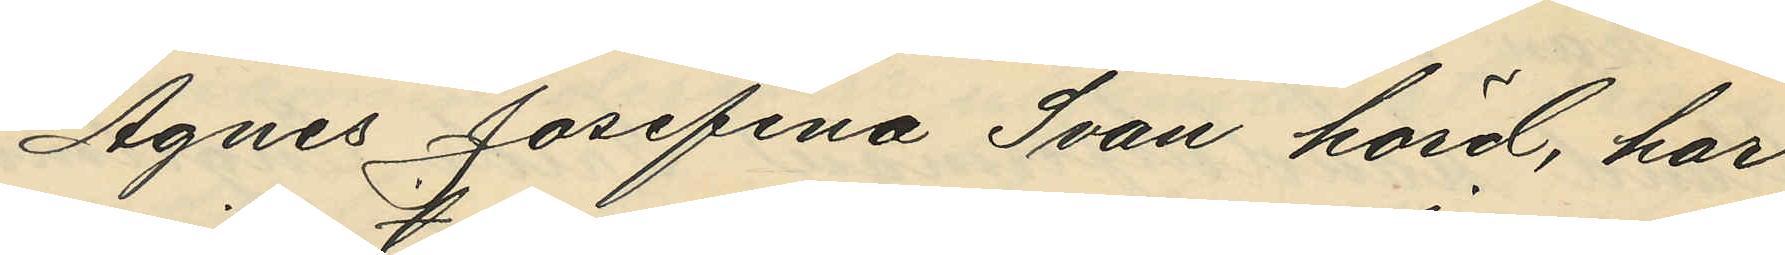Agnes Josefina Svan hörd, har
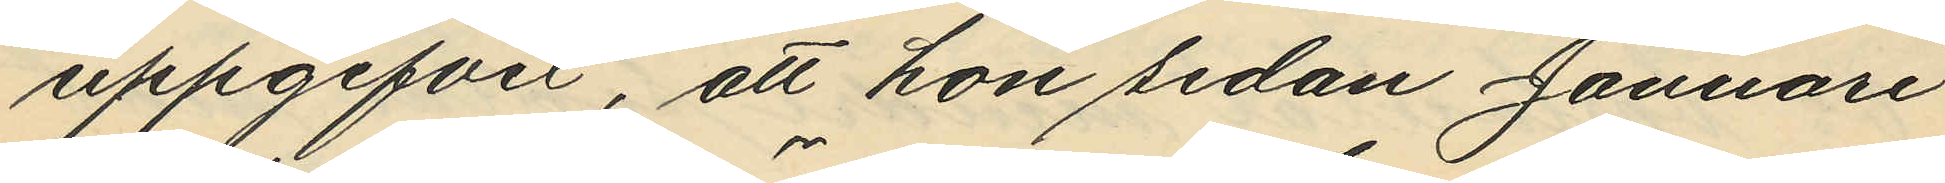uppgifvit, att hon sedan Januari
